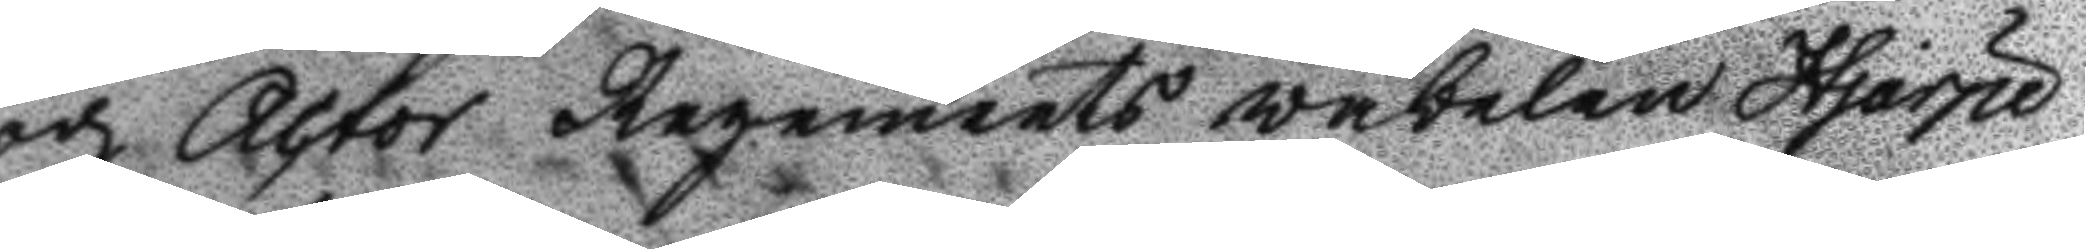och Actor Regements väbelen Hjärpe
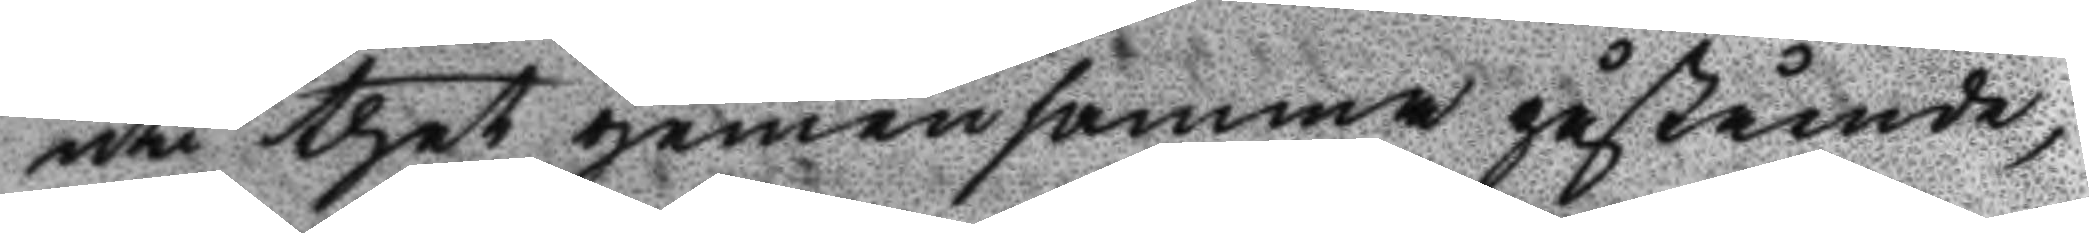uti thet gemensamma påstående,
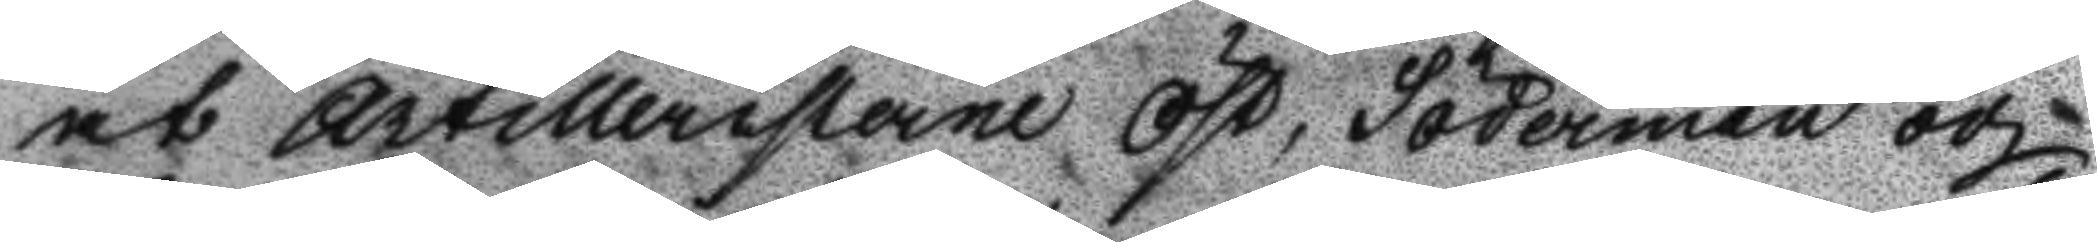at Artilleristerne Öst, Söderman och
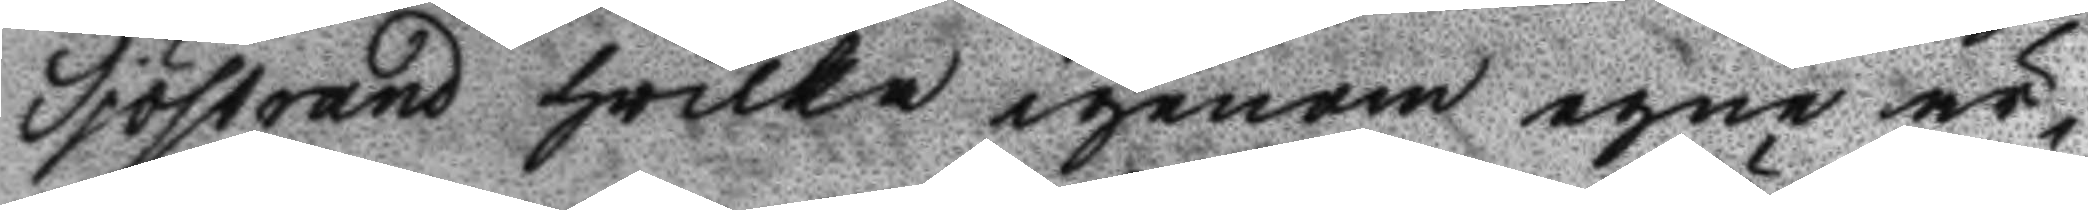Sjöstrand hwilka igenom egne är¬
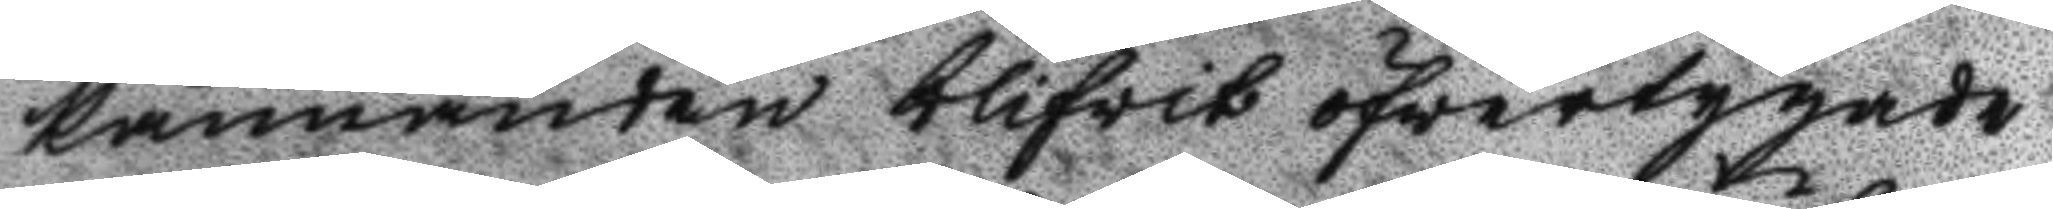kännanden blifwit öfwertygade
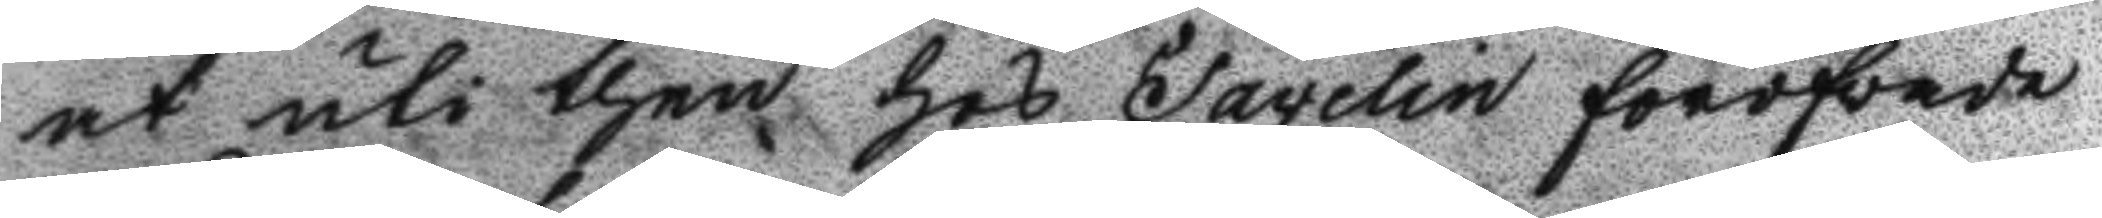at uti then hos Cavelin föröfvade
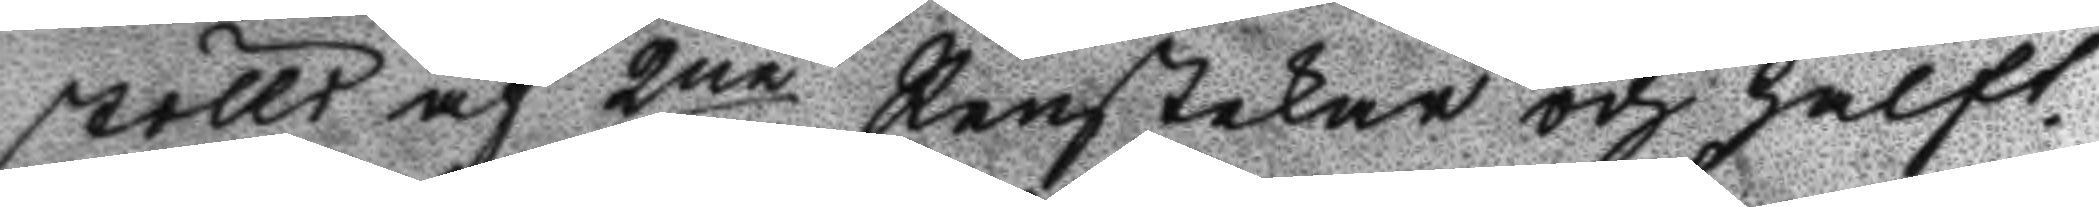stöld af 2ne Renstekar och halft¬
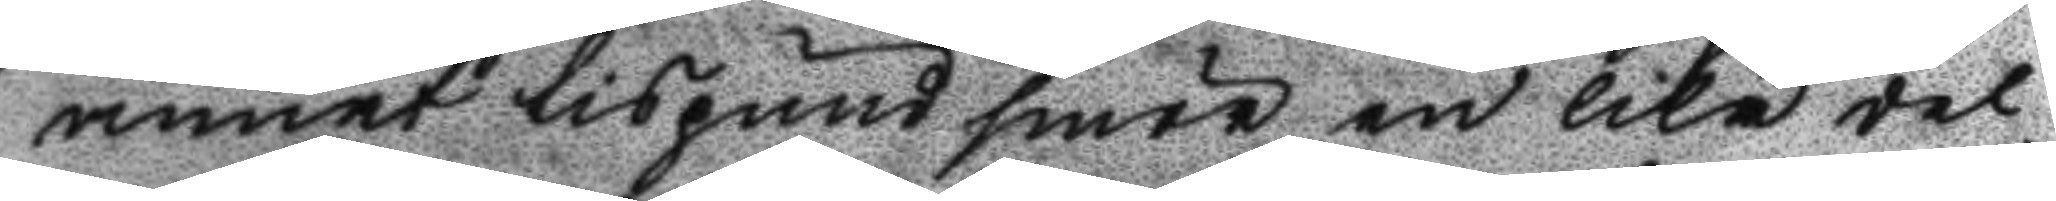annat lispund smör en lika del
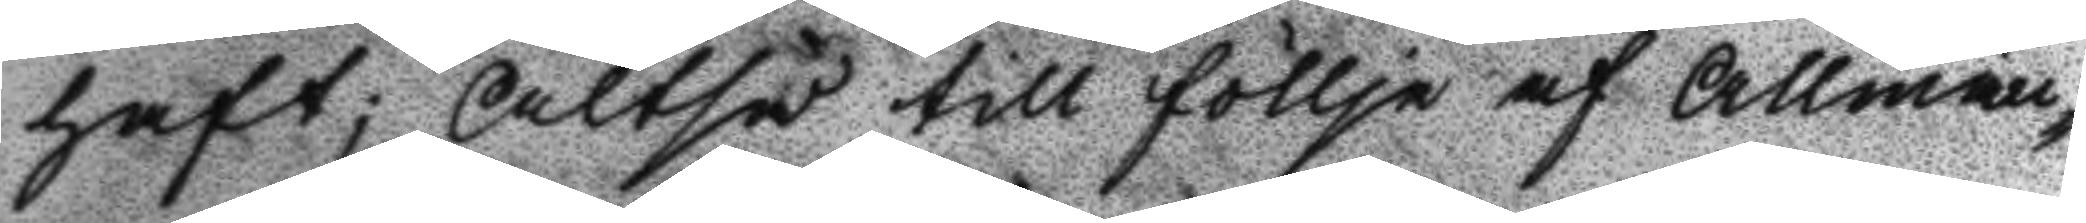haft; Altså till föllje af Allmän¬
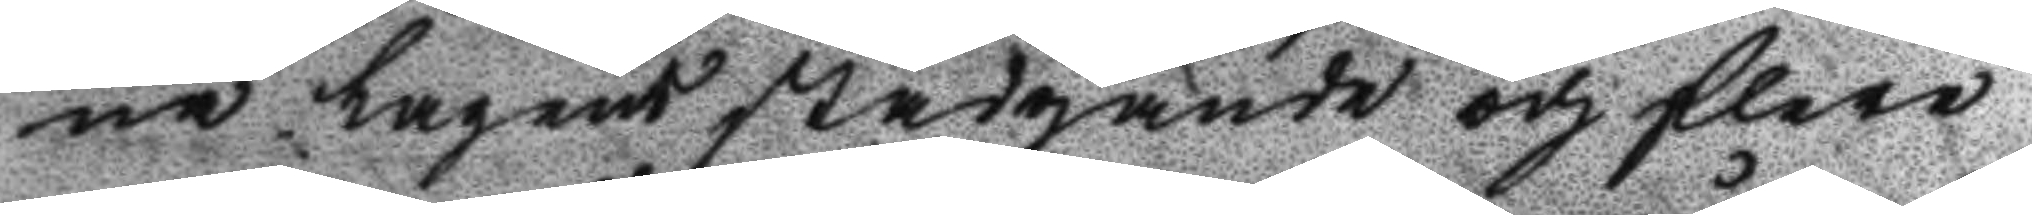na Lagens Stadgande och flere
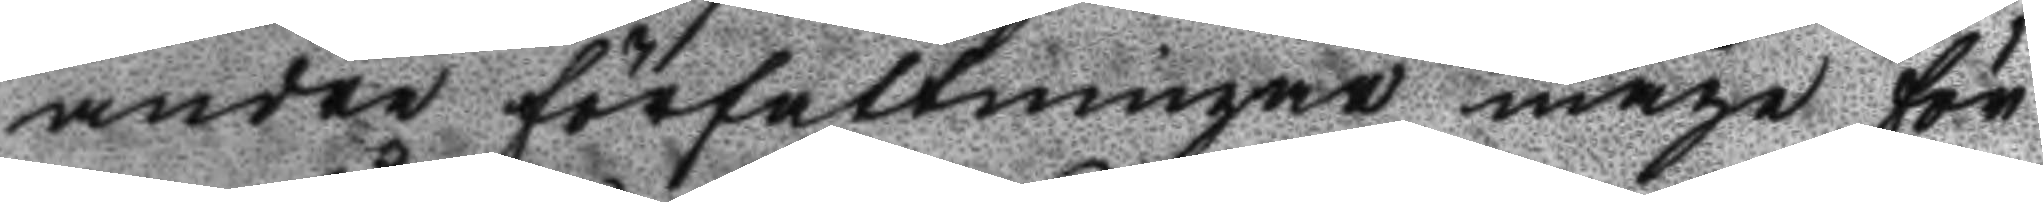andre författningar måge för
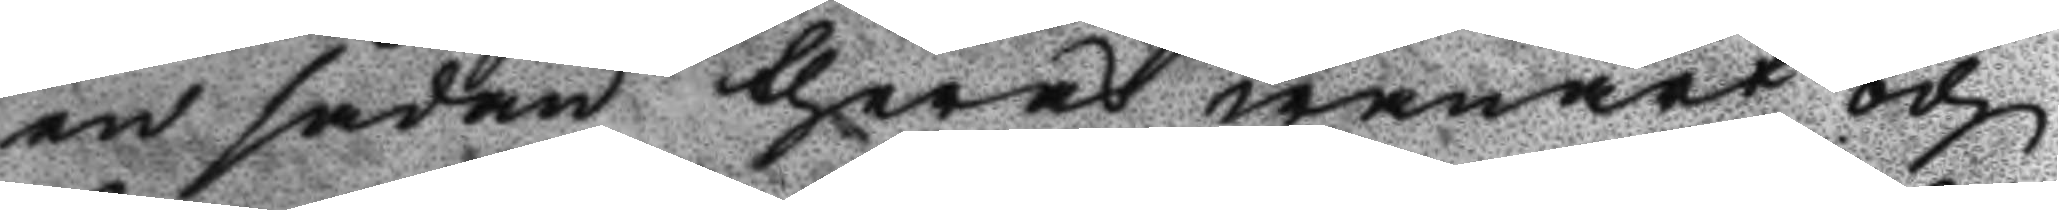en sådan theras wanart och
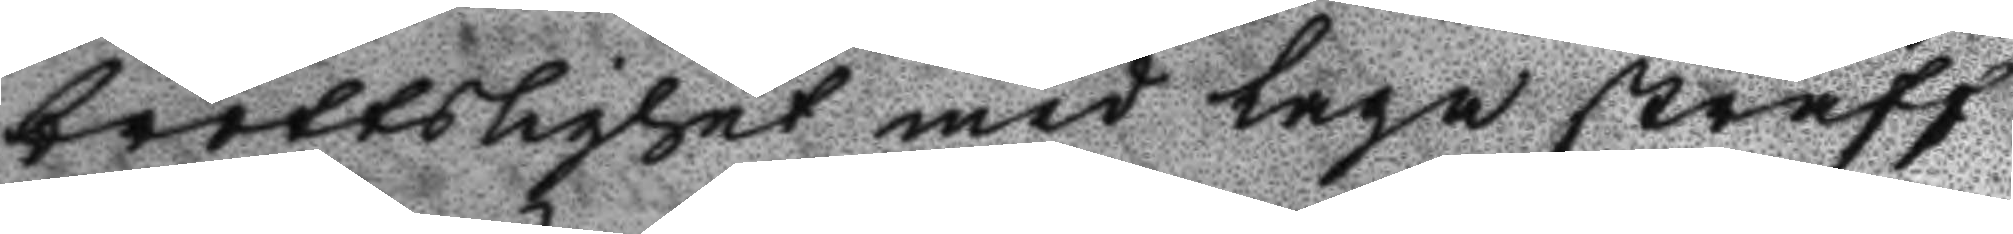brottslighet med laga straff
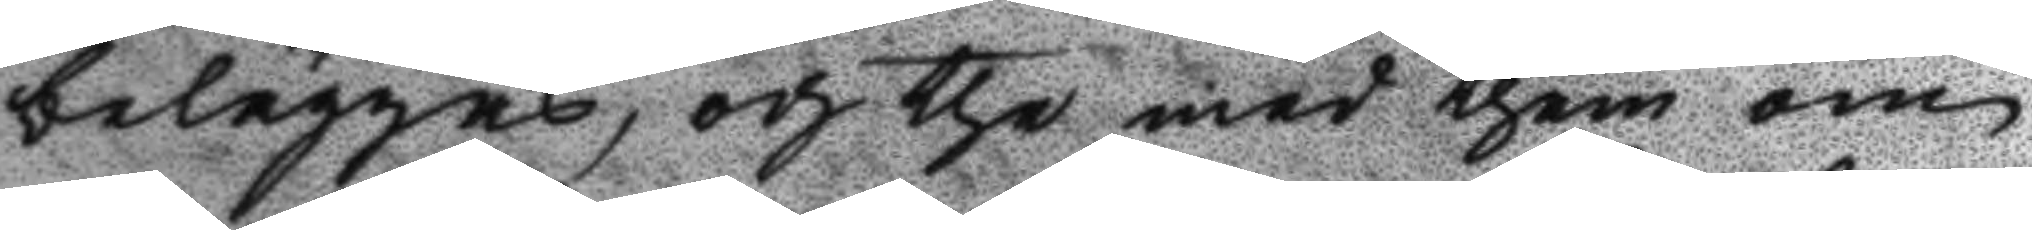beläggas, och the med them om
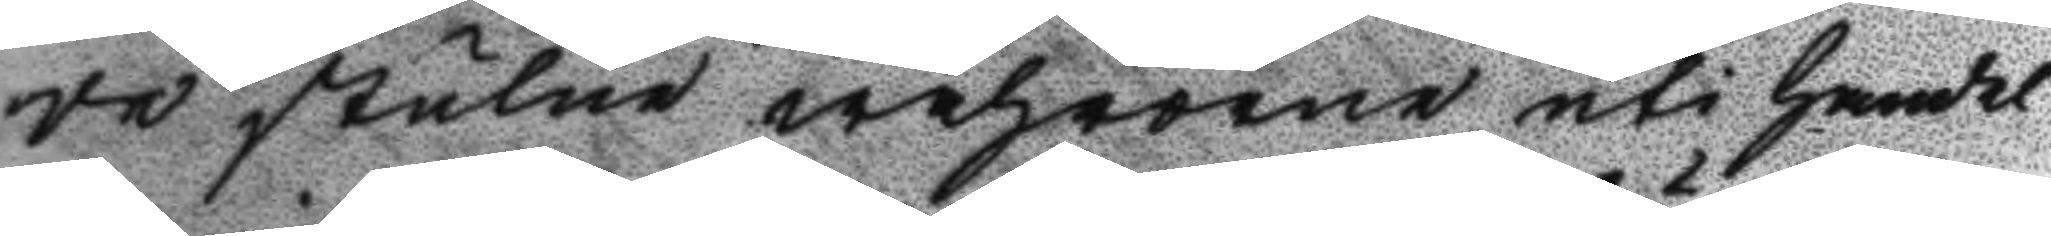de stulne wahrorne uti Handel
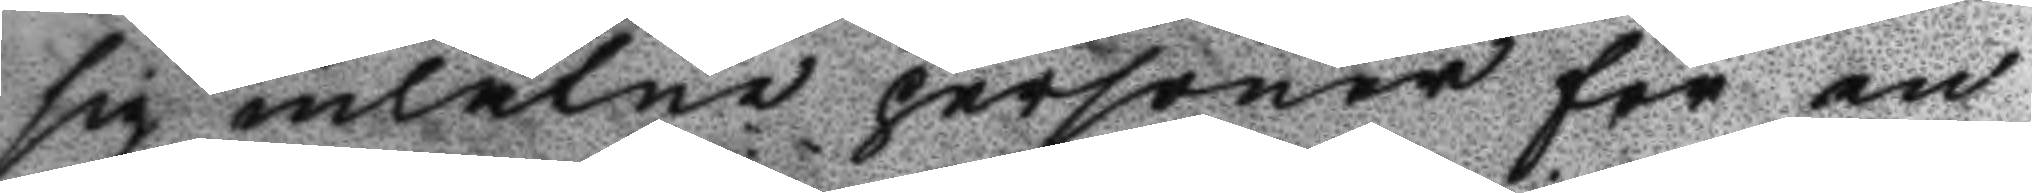sig inlåtne personer för en
